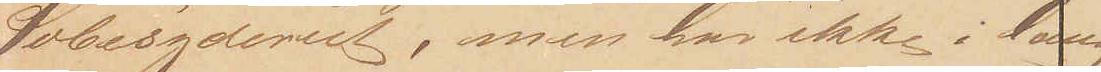Sæbesyderiet, men har ikke i lang
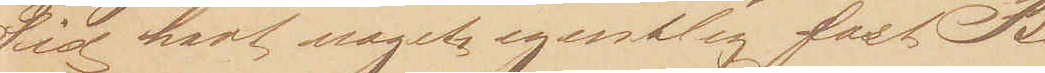Tid havt noget egentlig fast Be¬
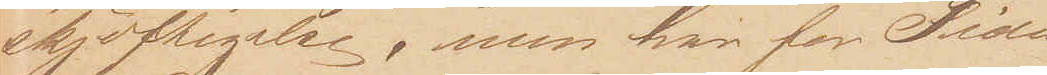skjæftigelse, men har for Tiden
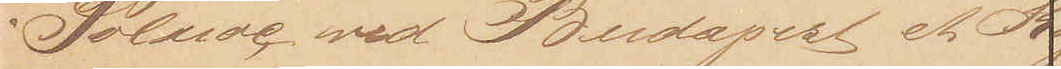i Solnoc ved Budapest et Kaf¬
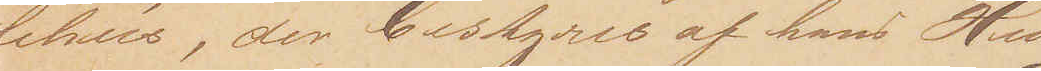fehus, der bestyres af hans Hu¬
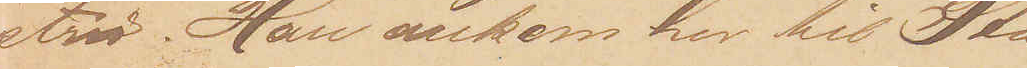stru. Han ankom her til Sta¬
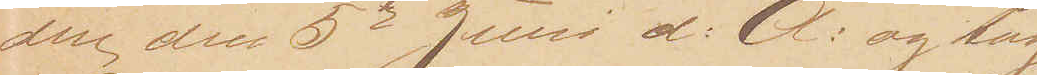den den 5te Juni d: A: og tog
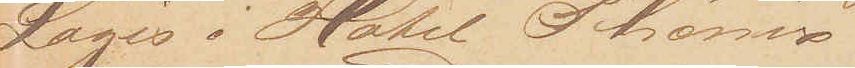Logis i Hotel Phønix.
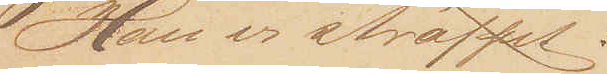Han er straffet:
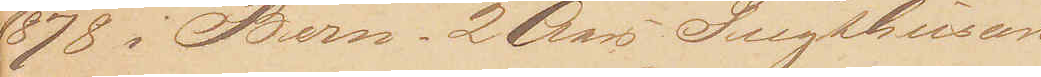1878 i Bern. 2 Aars Tugthusarb
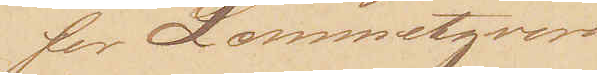for Lommetyveri
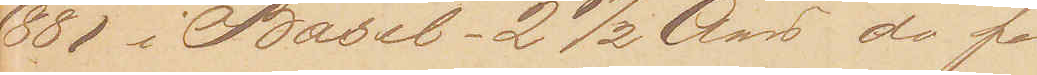1881 i Basel - 2 ½ Aar do for
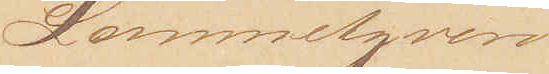Lommetyveri.
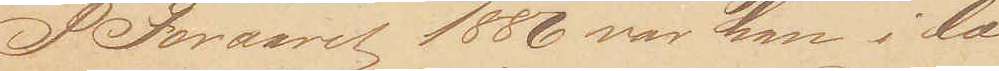I Foraaret 1886 var han i læn¬
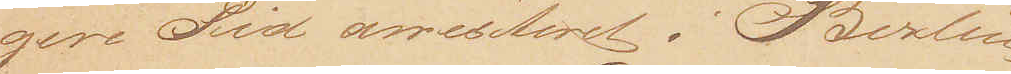gere Tid arresteret i Berlin
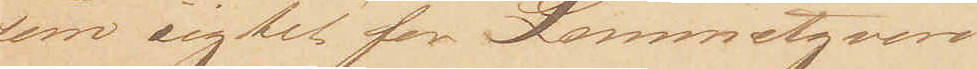som sigtet for Lommetyveri
